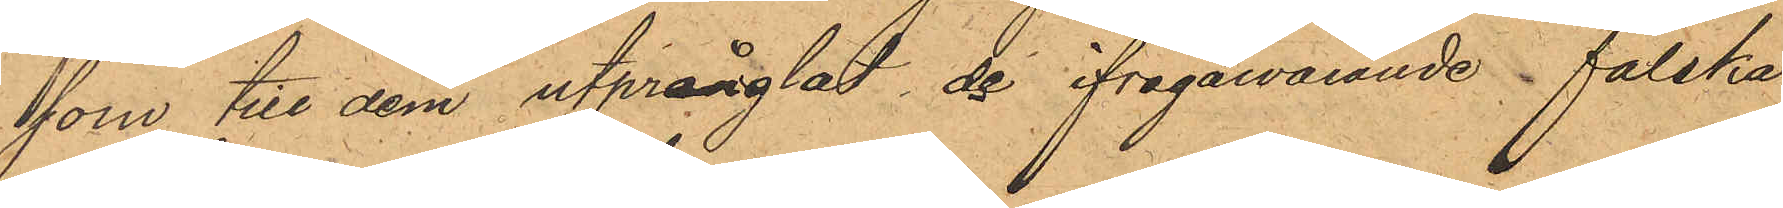som till dem utprånglat de ifrågavarande falska
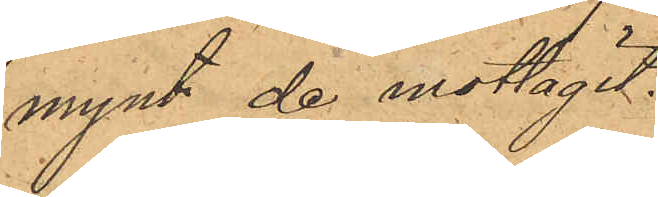mynt de mottagit.
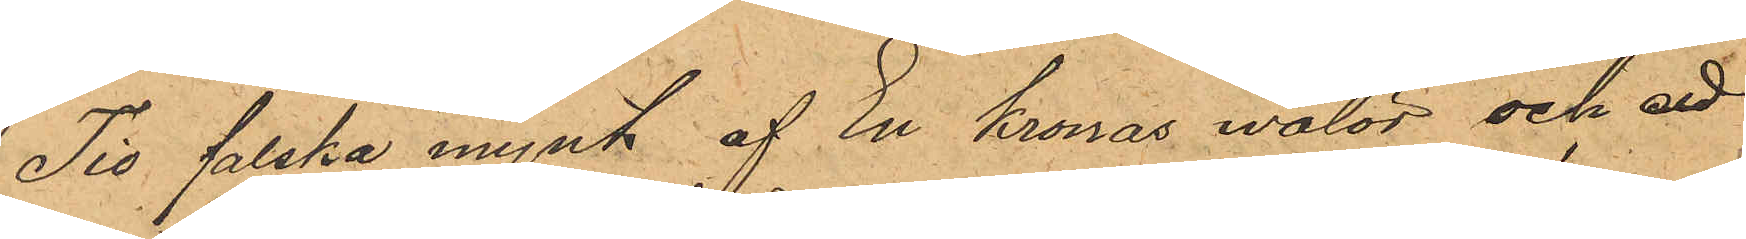Tio falska mynt af En kronas valör och ett
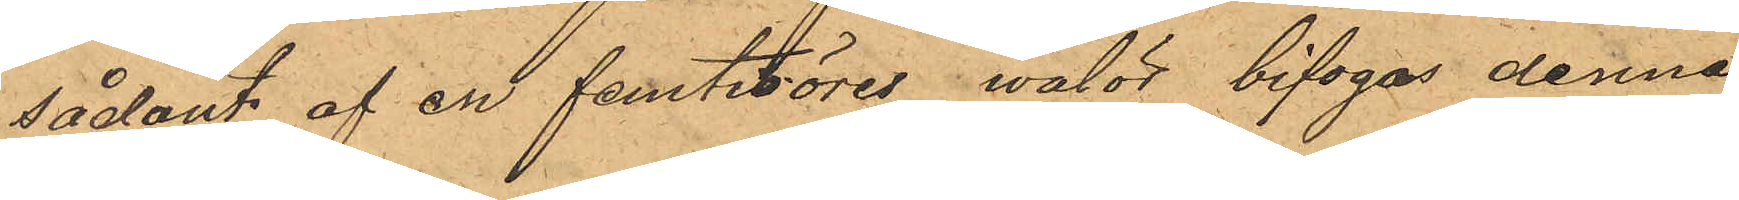sådant af en femtioöres valör bifogas denne
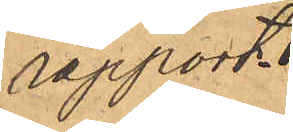rapport.
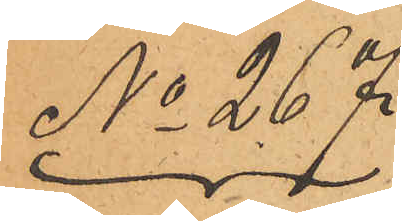No 267.
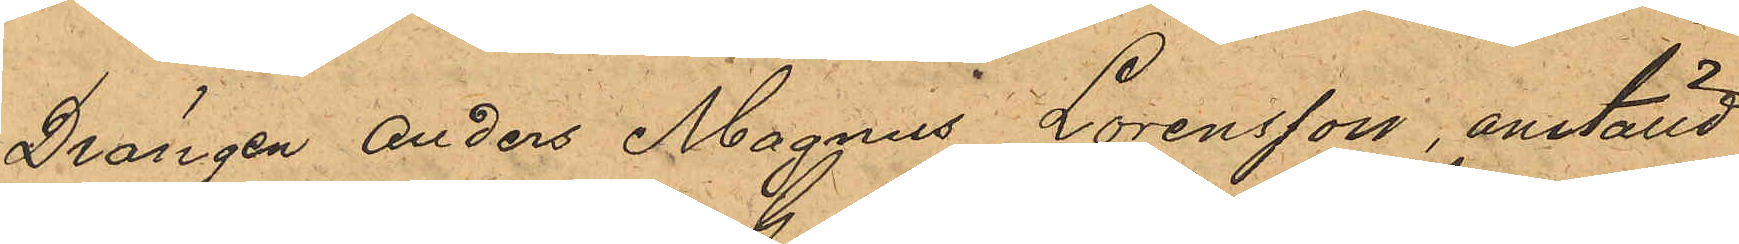Drängen Anders Magnus Lorensson, anställd
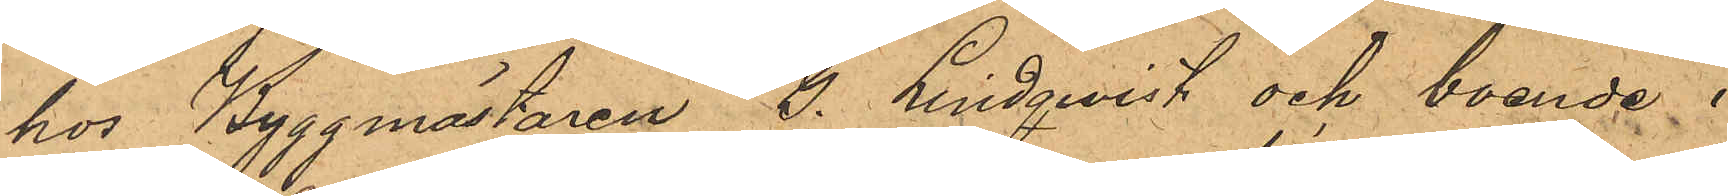hos Byggmästaren G. Lindqwist och boende i
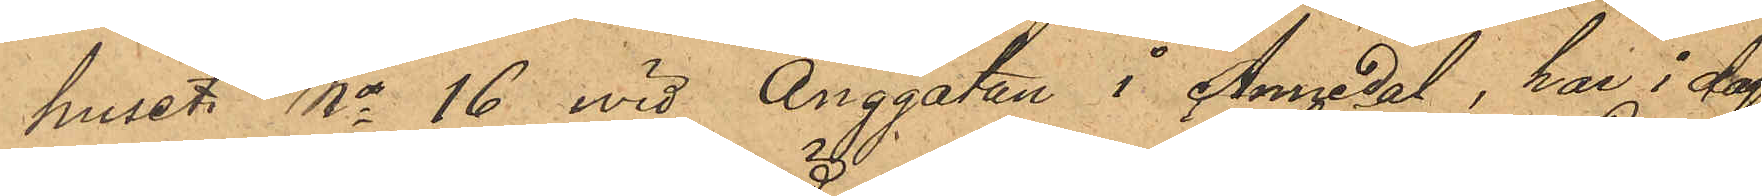huset No 16 wid Änggatan i Annedal, har i dag
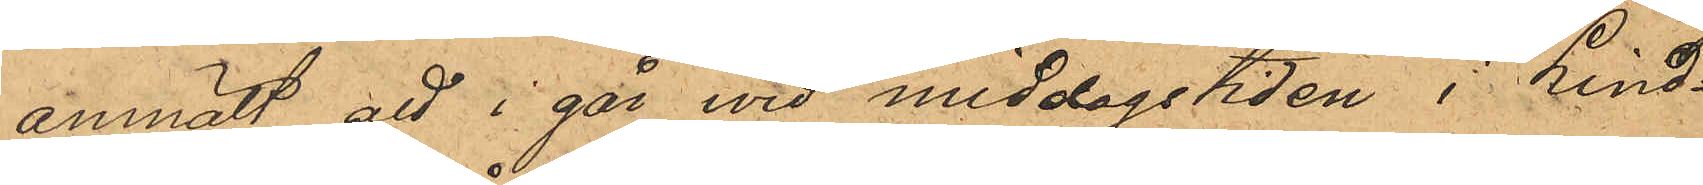anmält att i går vid middagstiden i Lind¬
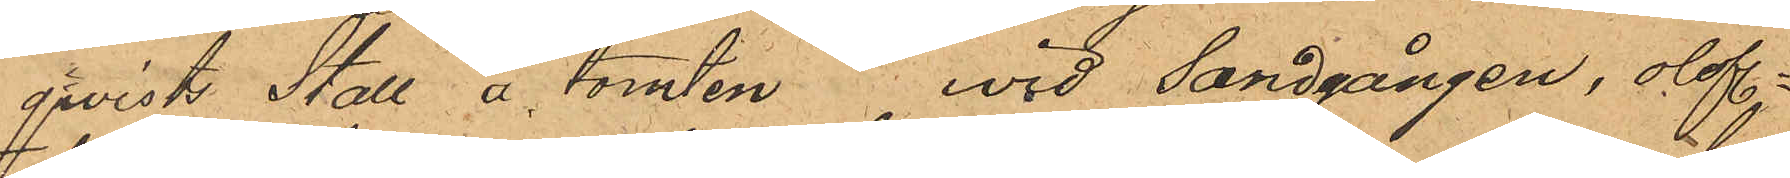qwists Stall å tomten vid Sandgången, olofl.
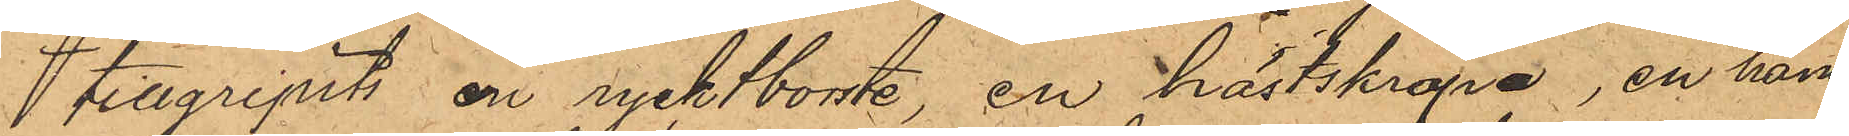 tillgripits en rycktborste, en hästskrapa, en ham¬
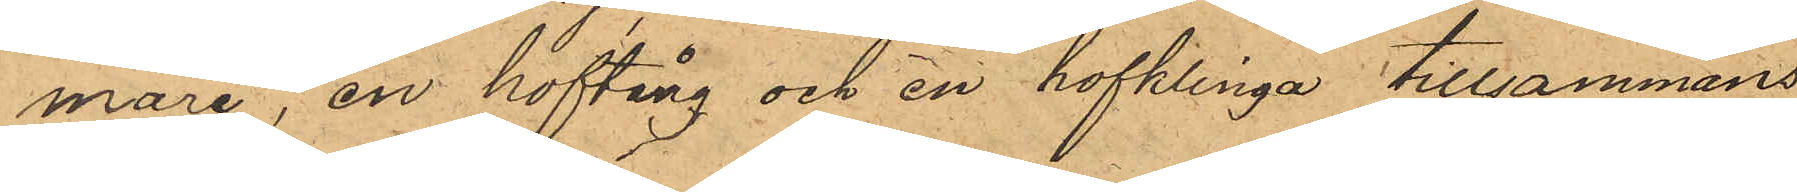mare, en hoftång och en hofklinga tillsammans
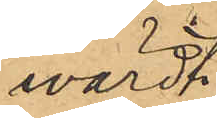värdt
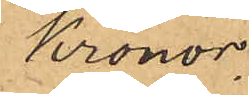Kronor.
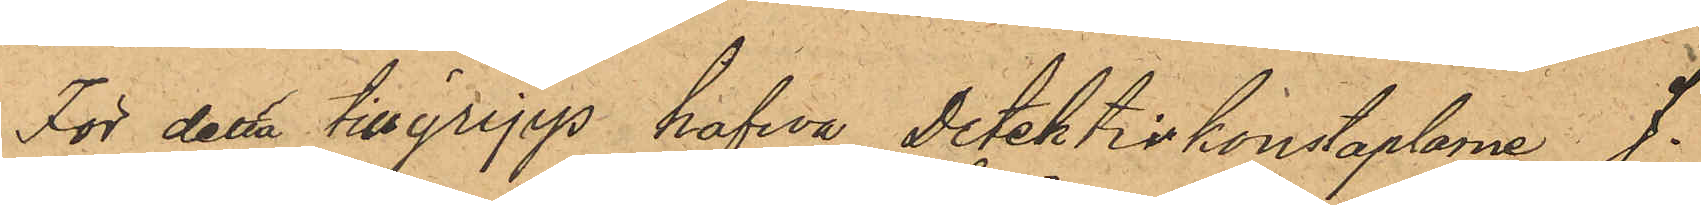För detta tillgrepp hafwa detektivkonstaplarna J.
